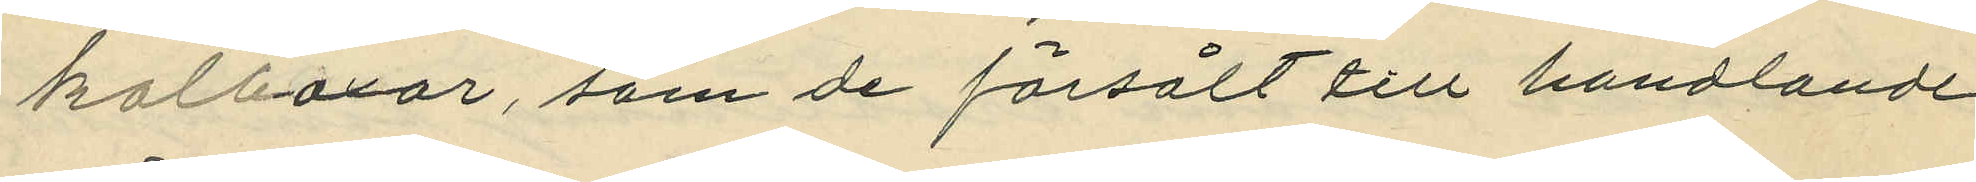kolboxar, som de försålt till handlande
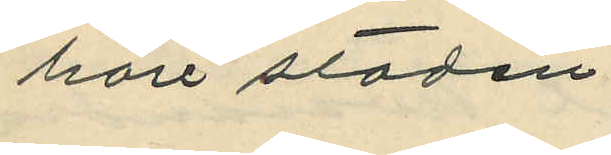häri staden.
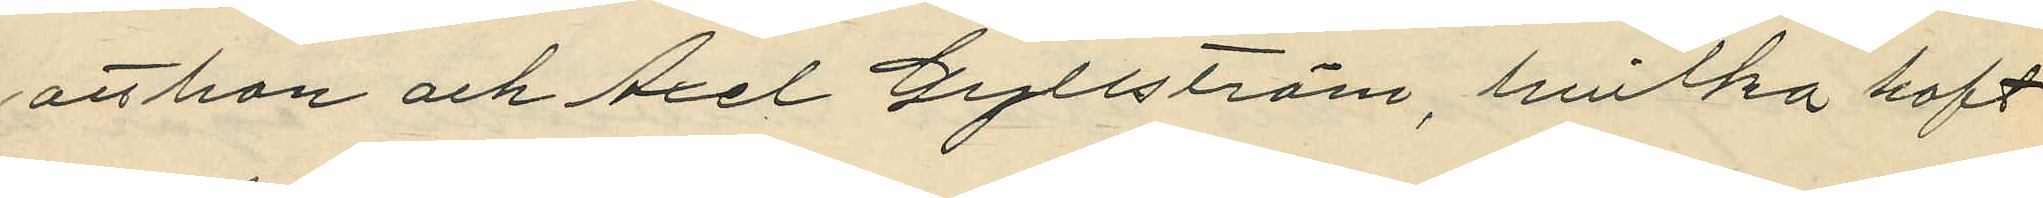att han och Axel Gyllström, hvilka haft
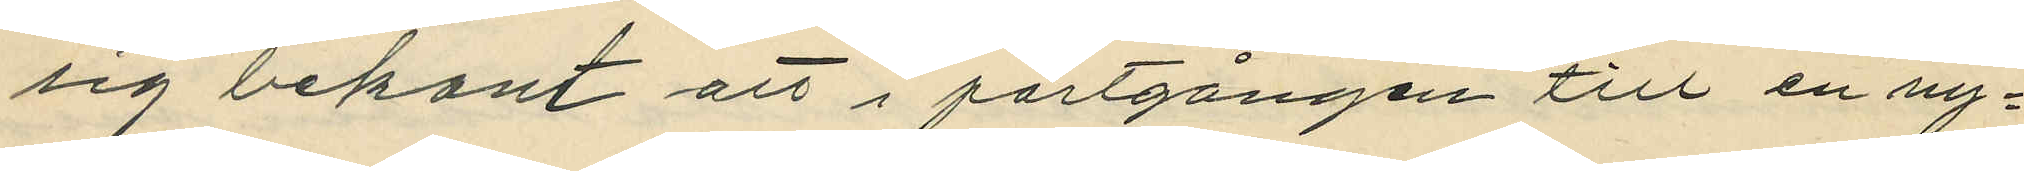sig bekant att i portgången till en ny¬
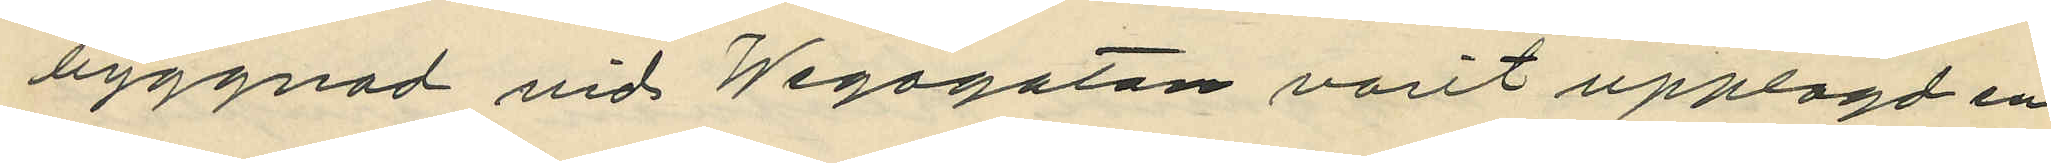byggnad vid Wegagatan varit upplagt en
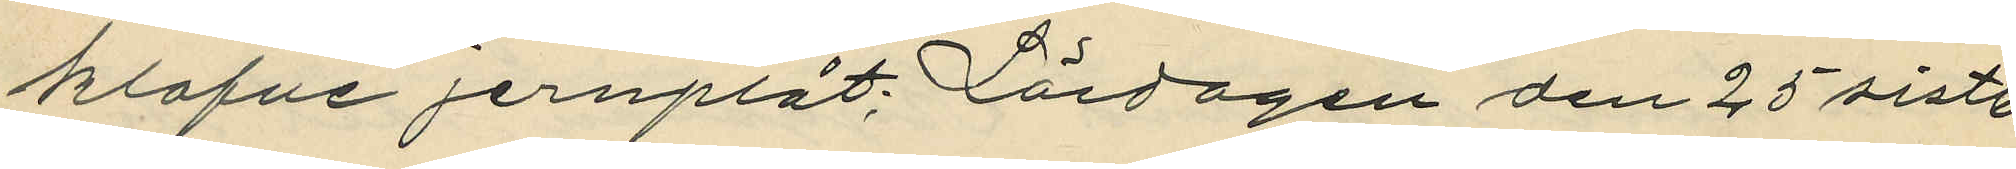klafve jernplåt; Lördagen den 25 sistl.
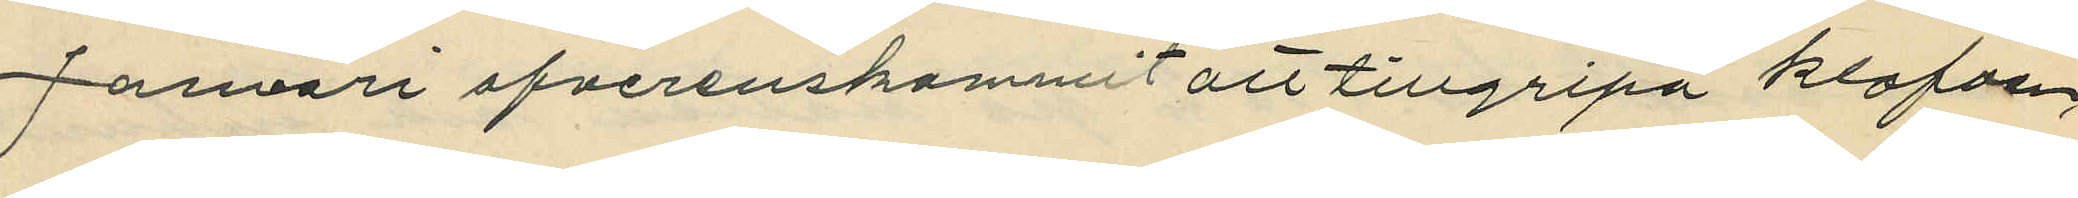Januari öfverenskommit att tillgripa klafven,
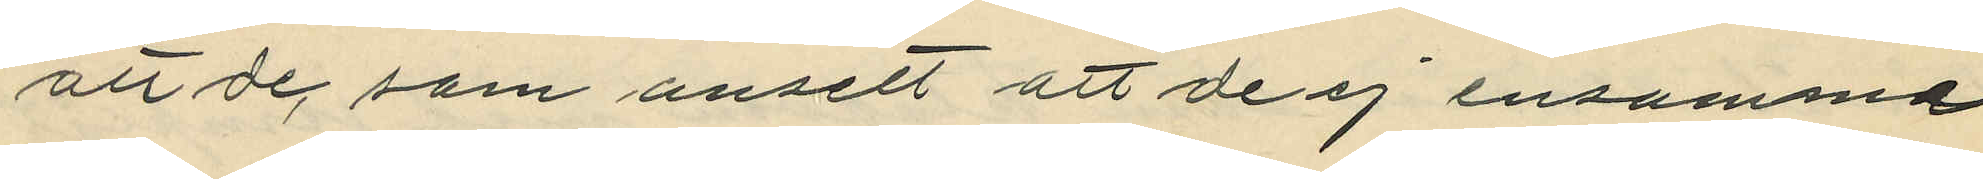att de, som ansett att de ej ensamma
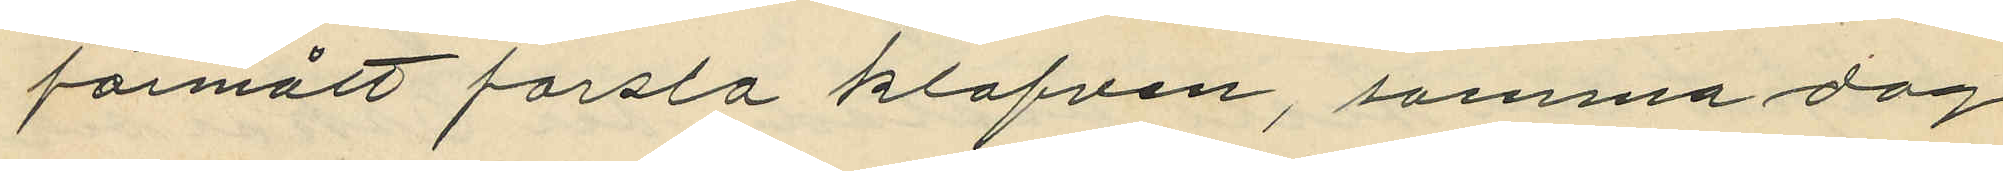förmått forsla klafven, samma dag
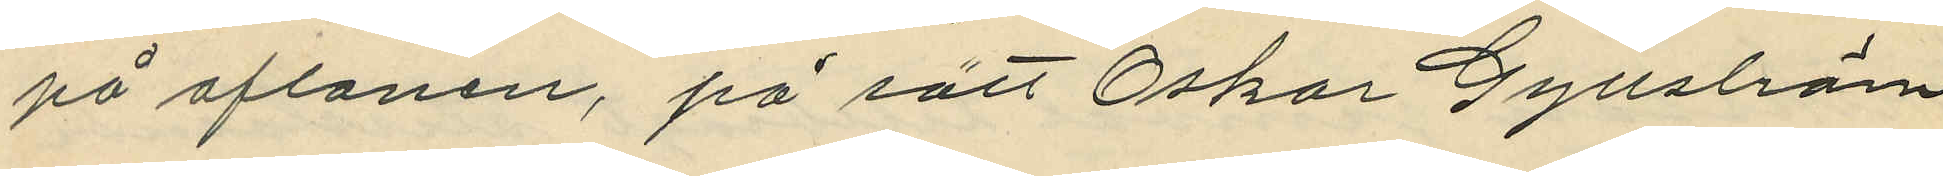på aftonen, på sätt Oskar Gyllström
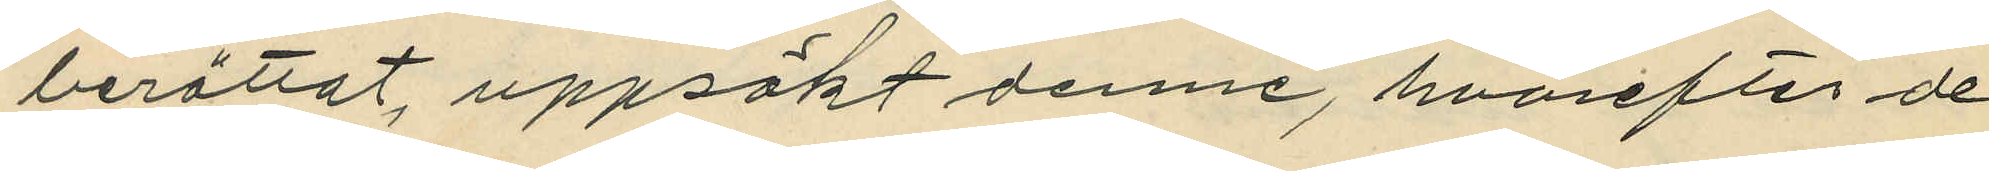berättat, uppsökt denne, hvarefter de
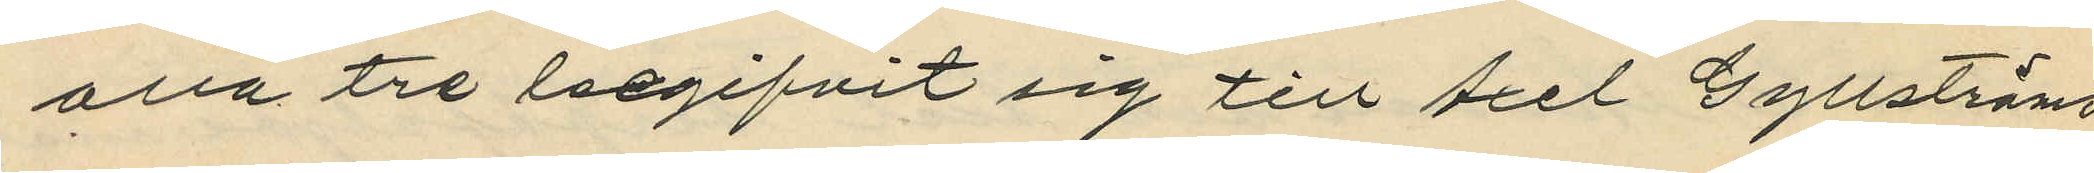alla tre begifvit sig till Axel Gyllströms
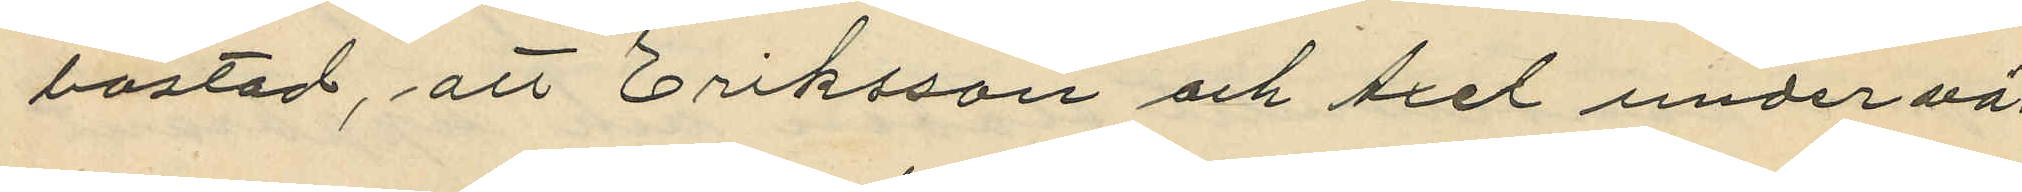bostad, att Eriksson och Axel under vä¬
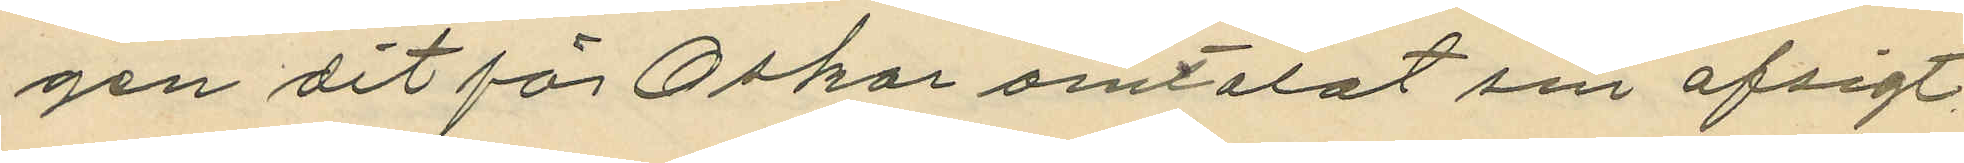gen dit för Oskar omtalat sin afsigt
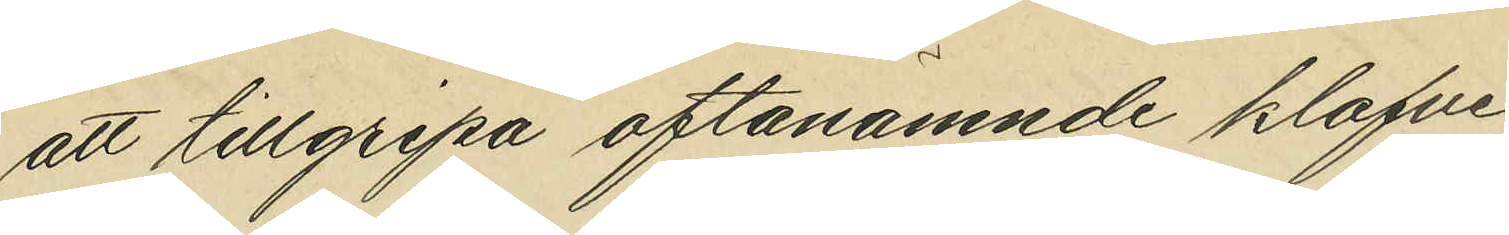att tillgripa oftanämnde klafven
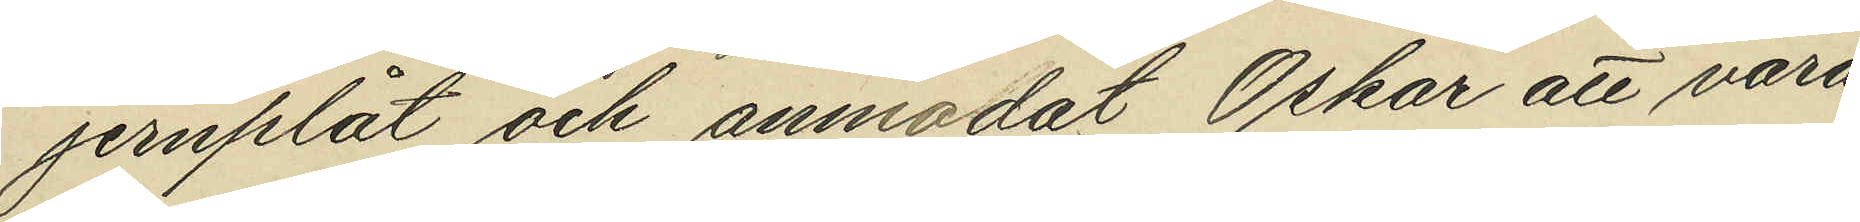jernplåt och anmodat Oskar att vara
